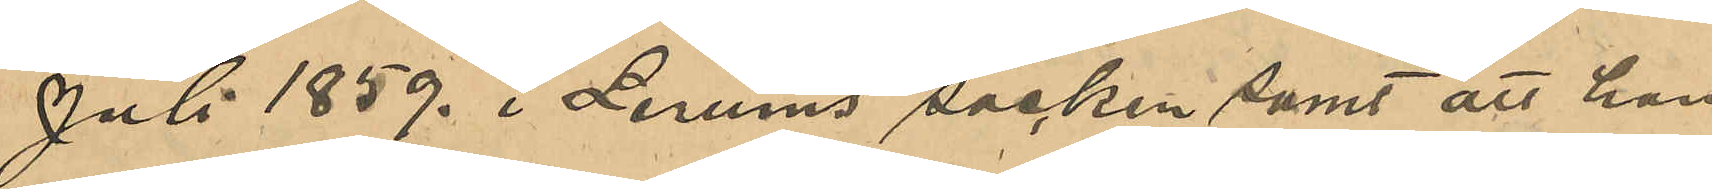Juli 1859. i Lerums socken, samt att han
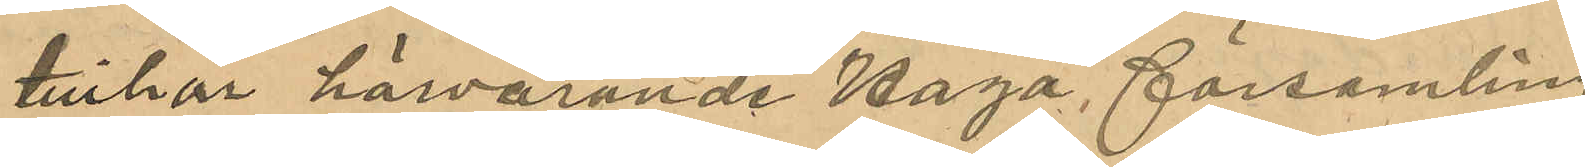tillhör härvarande Haga församling.
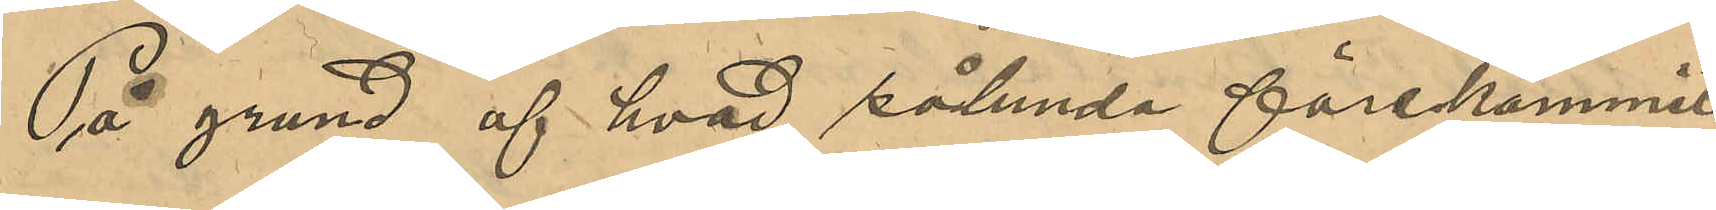På grund af hvad sålunda förekommit
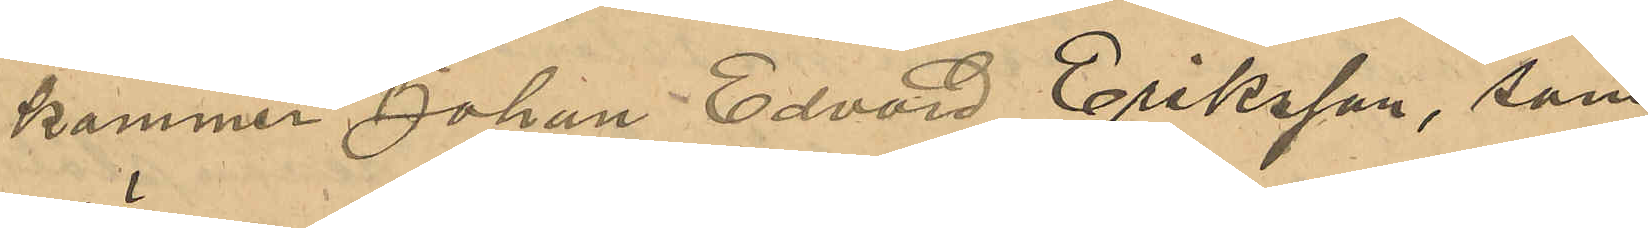kommer Johan Edvard Eriksson, som
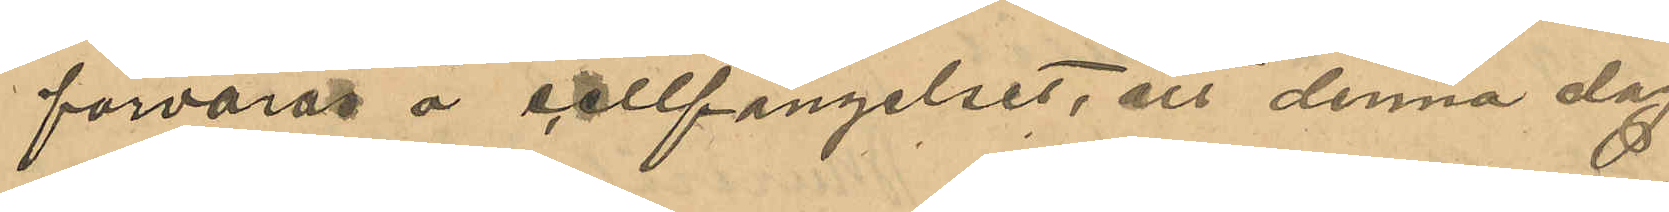förvaras å cellfängelset, att denna dag
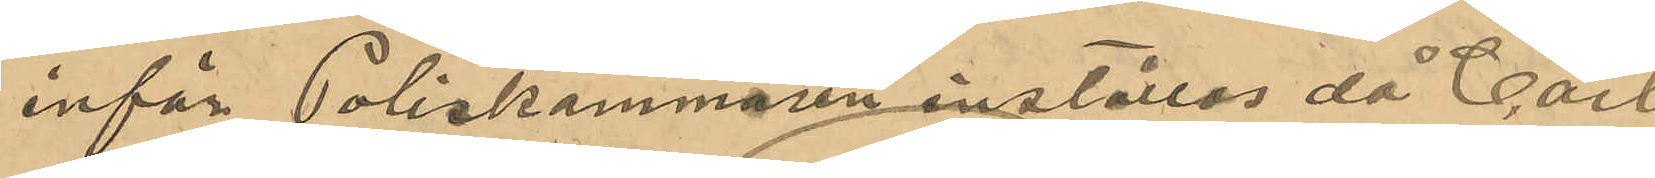inför Poliskammaren inställas då Carl
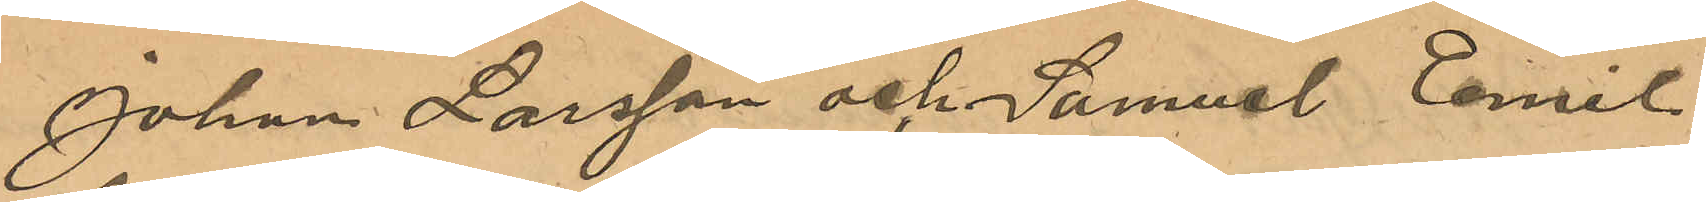Johan Larsson och Samuel Emil
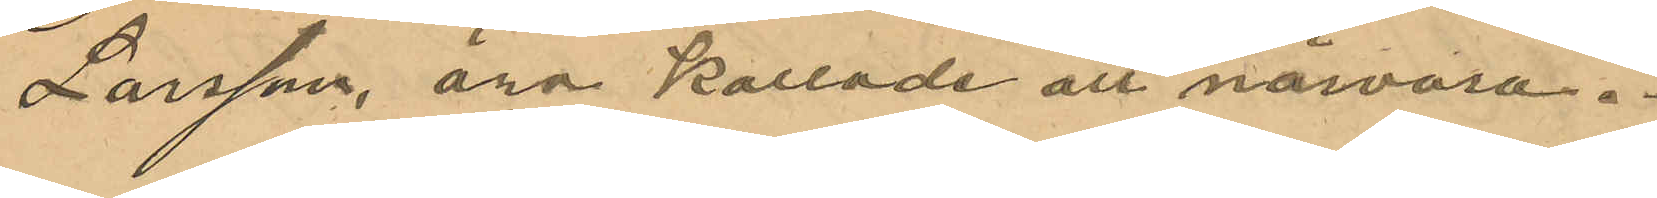Larsson äro kallade att närvara.
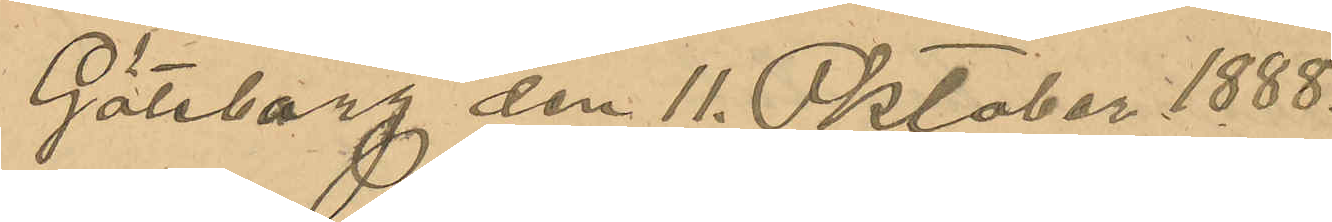Göteborg den 11. Oktober 1888.
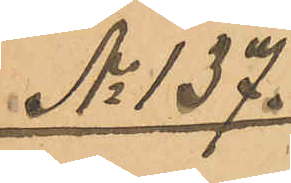No 137.
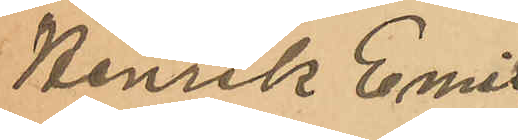Henrik Emil
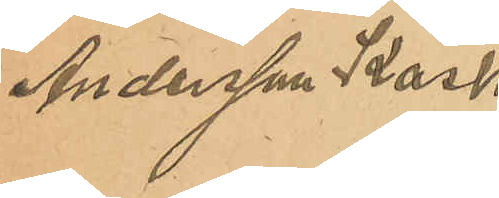Andersson Kask.
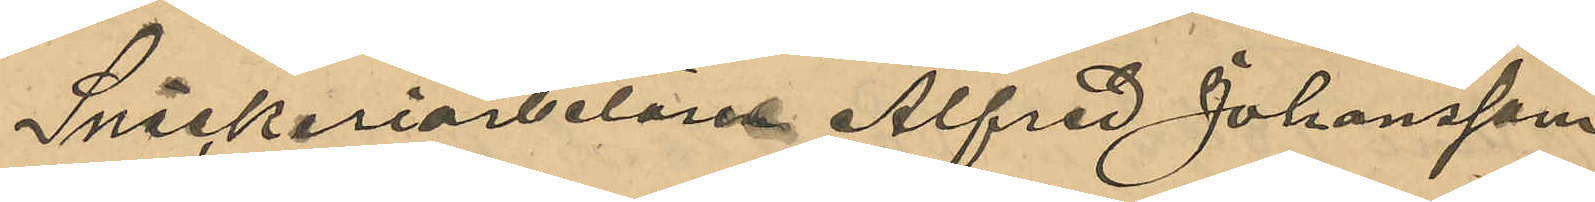Snickeriarbetaren Alfred Johansson
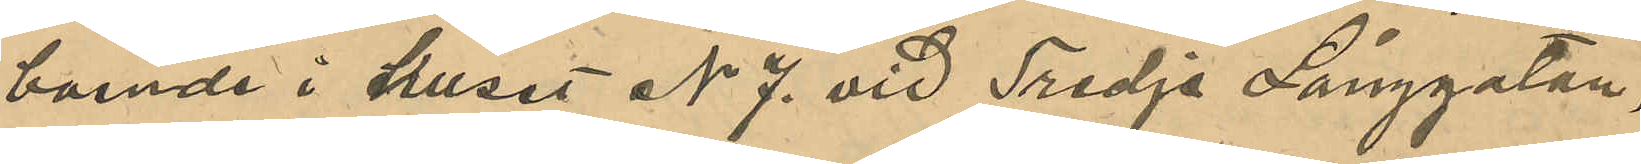boende i huset No 7. vid Tredje Långgatan,
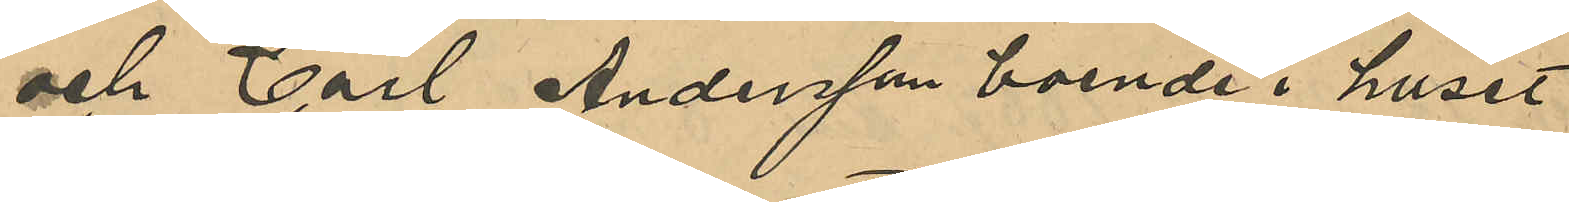och Carl Andersson boende i huset
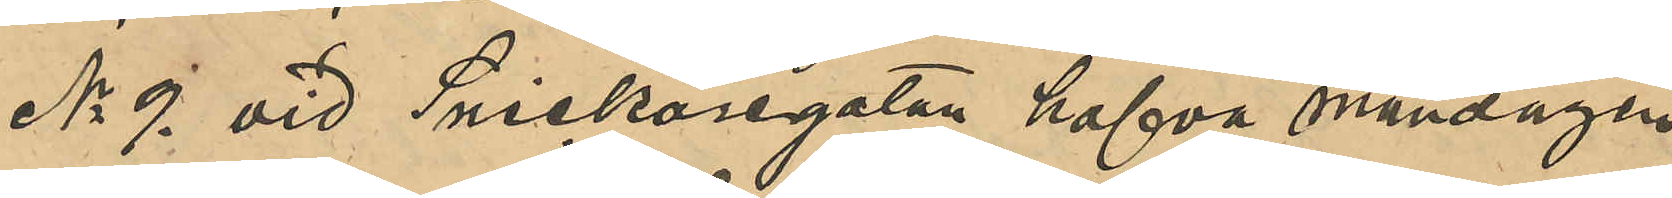No 9. vid Snickaregatan hafva måndagen
